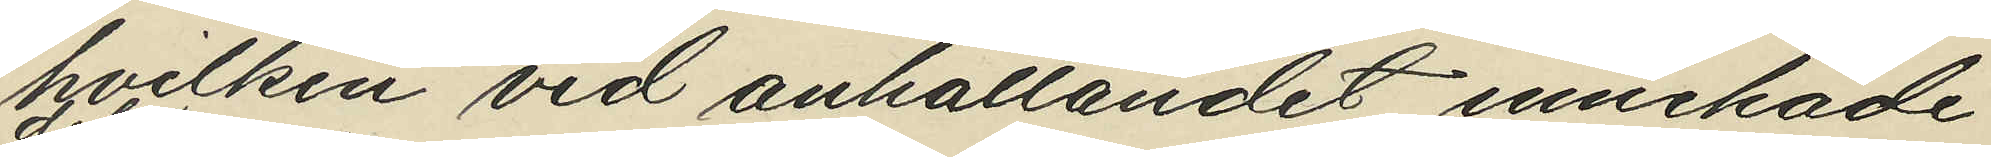hvilken vid anhållandet innehade
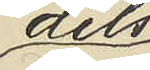dels
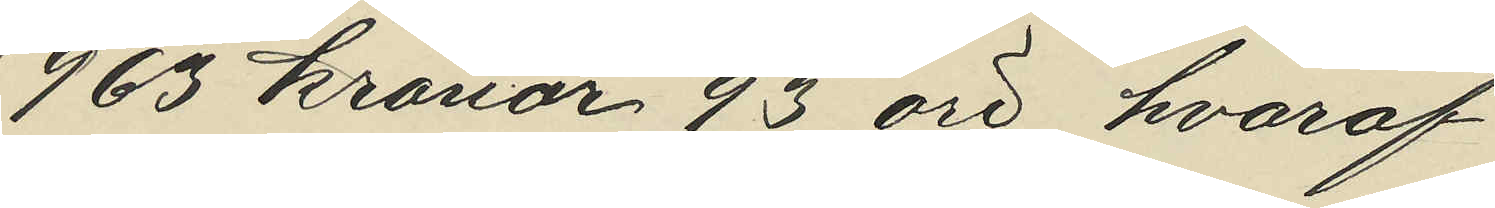963 kronor 93 öre, hvaraf
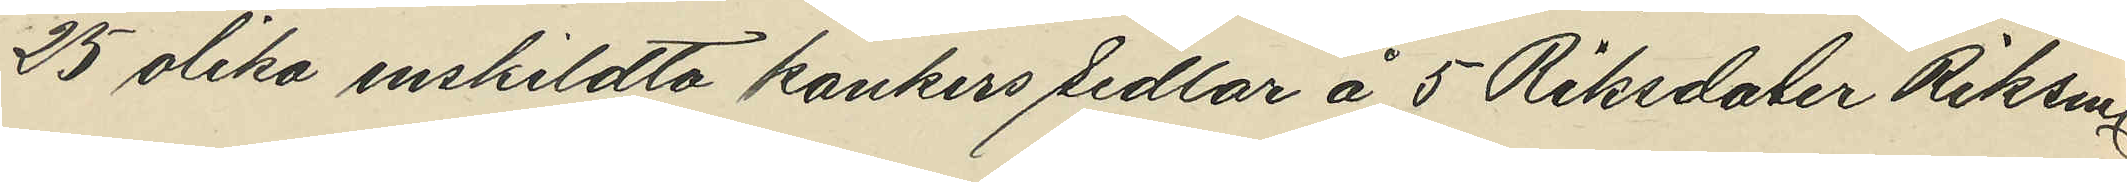25 olika enskildta bankers sedlar å 5 Riksdaler Riksmt
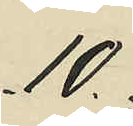10
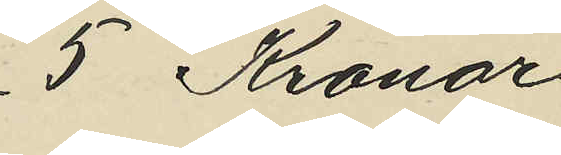5 Kronor
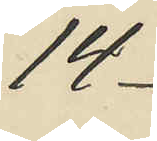14
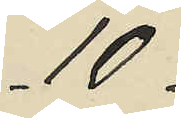10
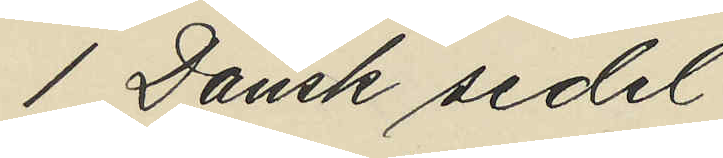1 Dansk sedel
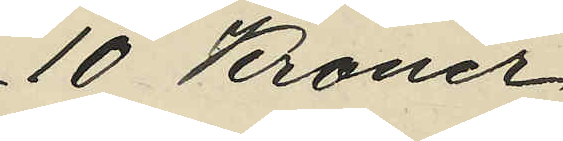10 Kroner
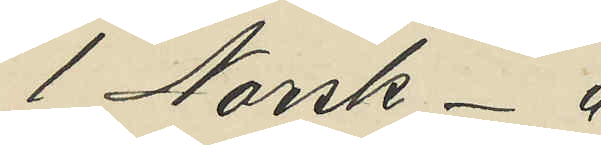1 Norsk - "
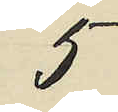5
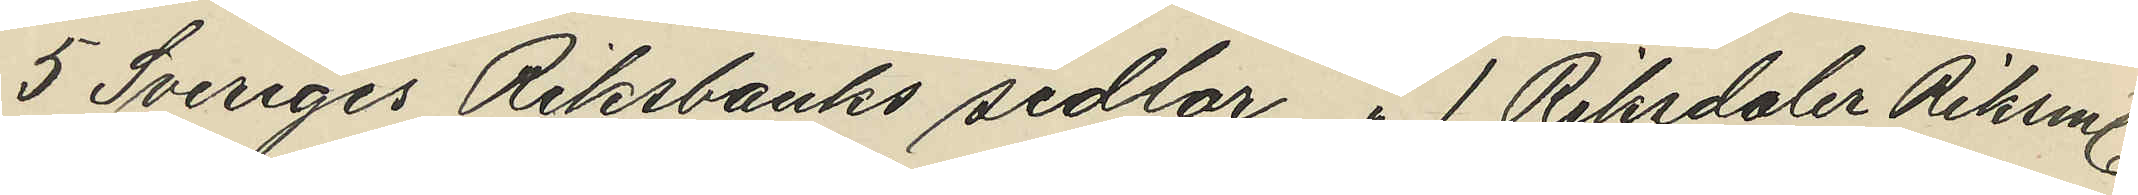5 Sveriges Riksbanks sedlar " 1 Riksdaler Riksmt
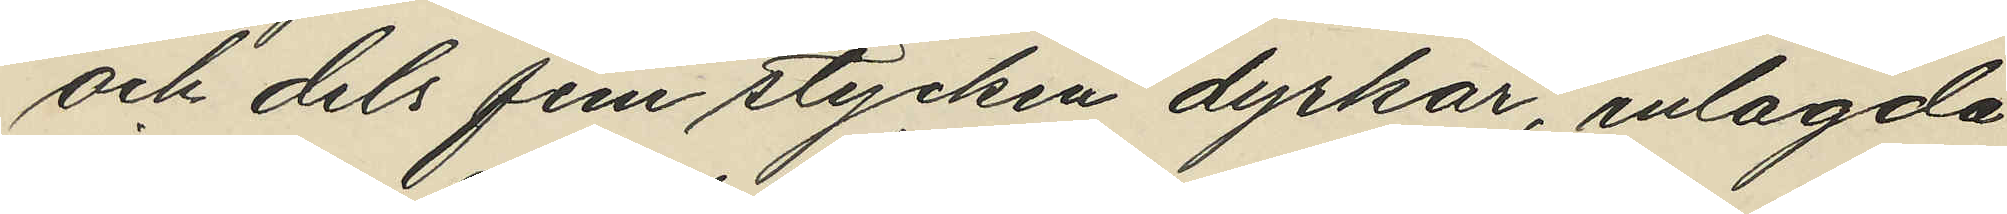och dels fem stycken dyrkar, inlagda
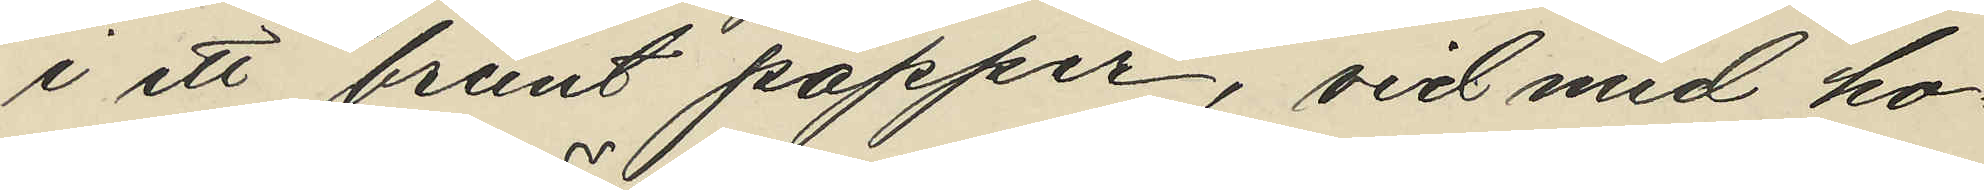i ett brunt papper, vid med ho¬
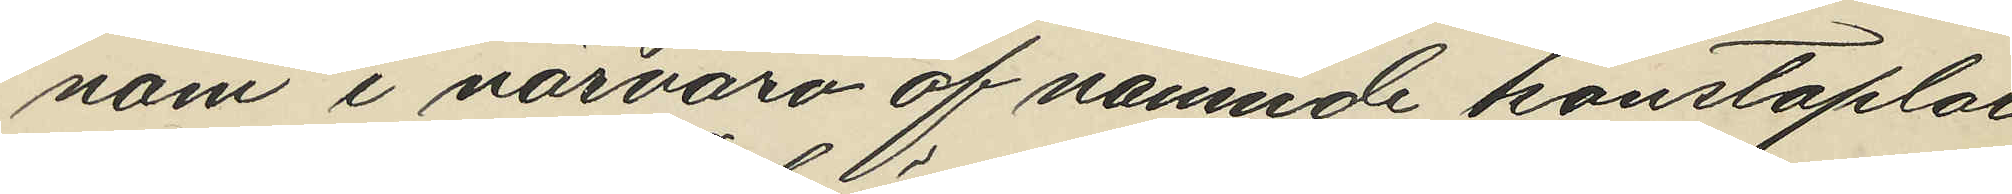nom i närvaro af nämnde konstaplar
